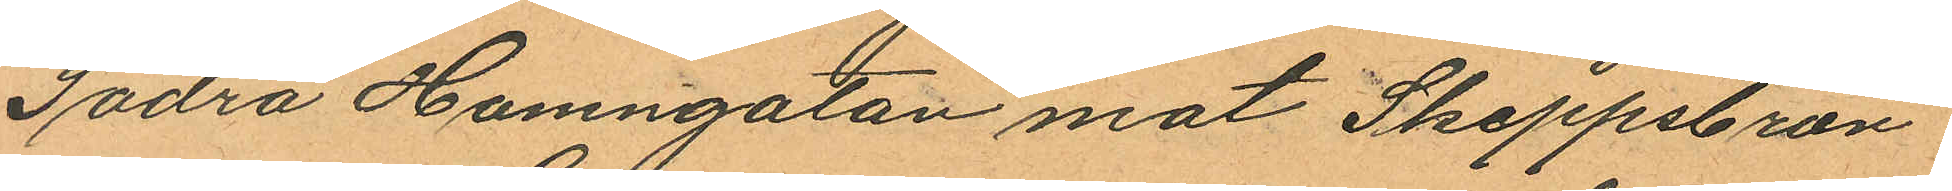Södra Hamngatan mot Skeppsbron
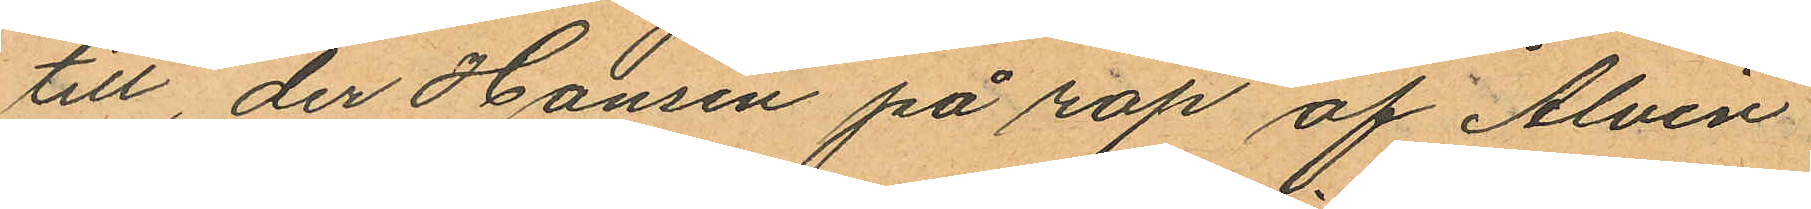till, der Hansen på rop af Alvin
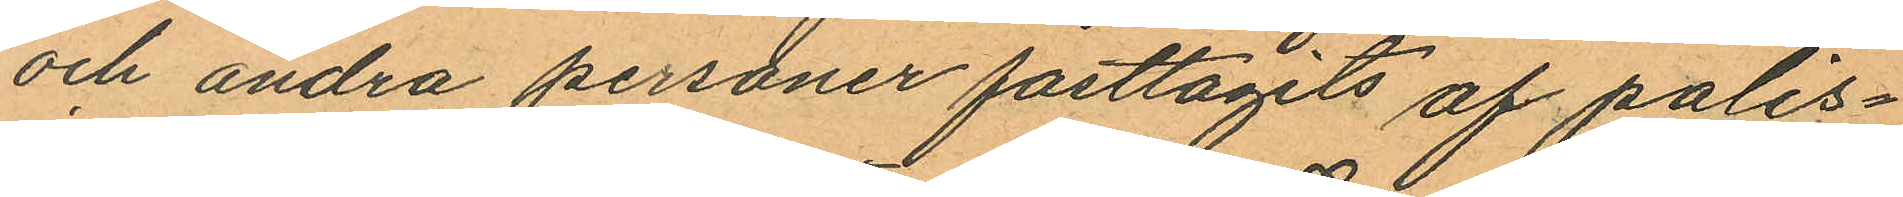och andra personer fasttagits af polis¬
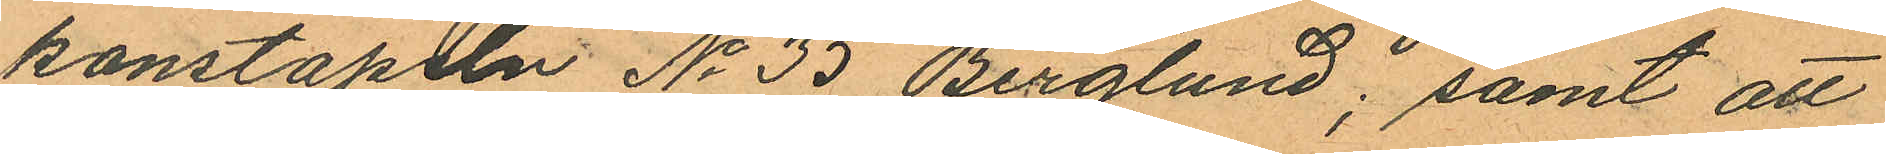konstapeln No 35 Berglund; samt att
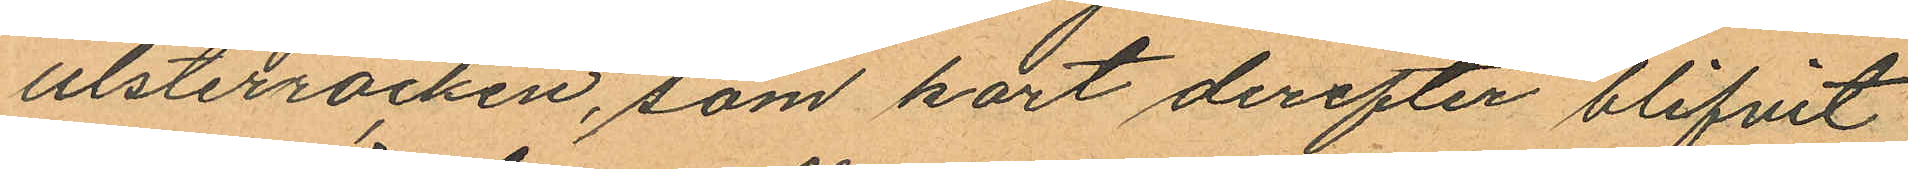ulsterrocken, som kort derefter blifvit
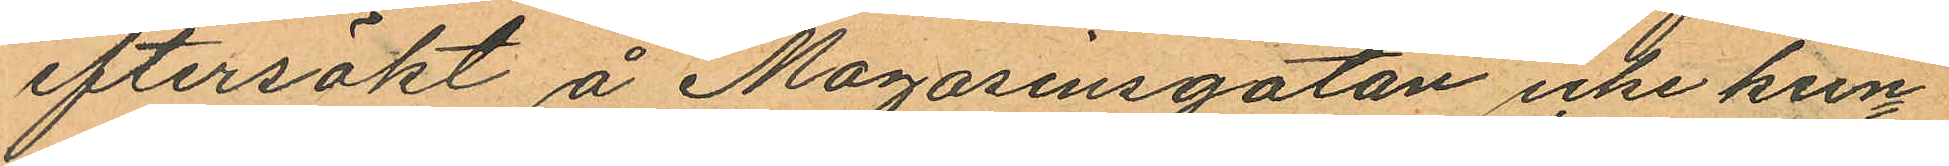eftersökt å Magasinsgatan icke kun¬
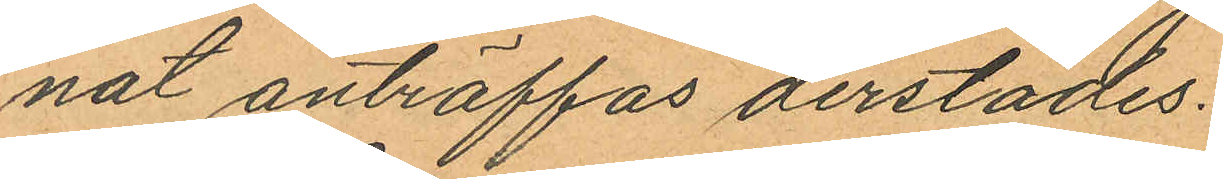nat anträffas derstädes.
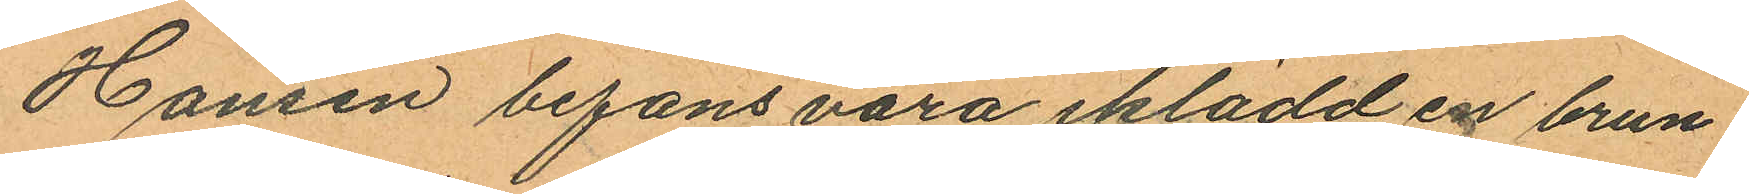Hansen befans vara iklädd en brun
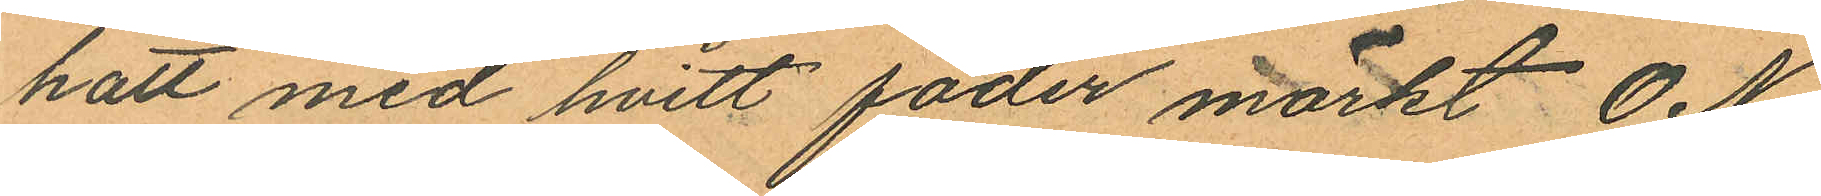hatt med hvitt foder märkt O N.
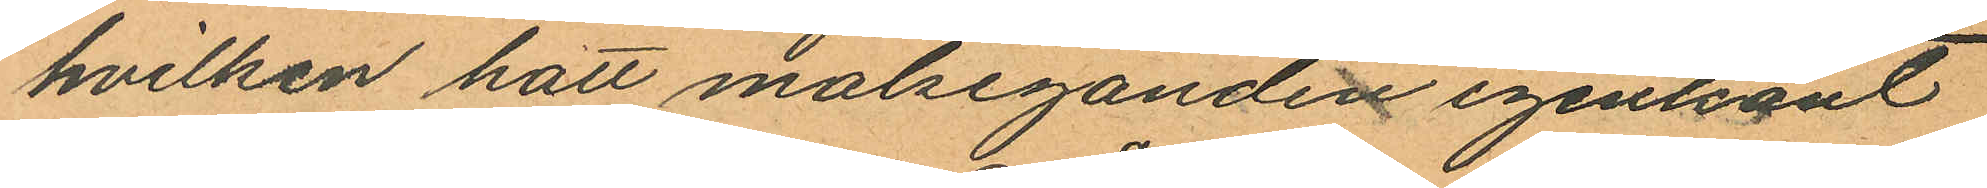hvilken hatt målseganden igenkänt
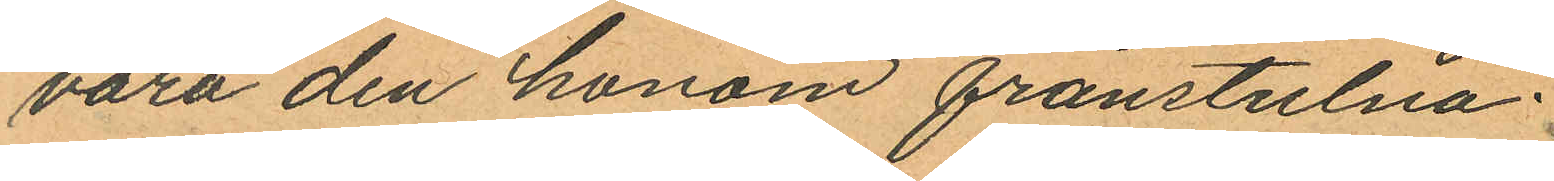vara den honom frånstulna.
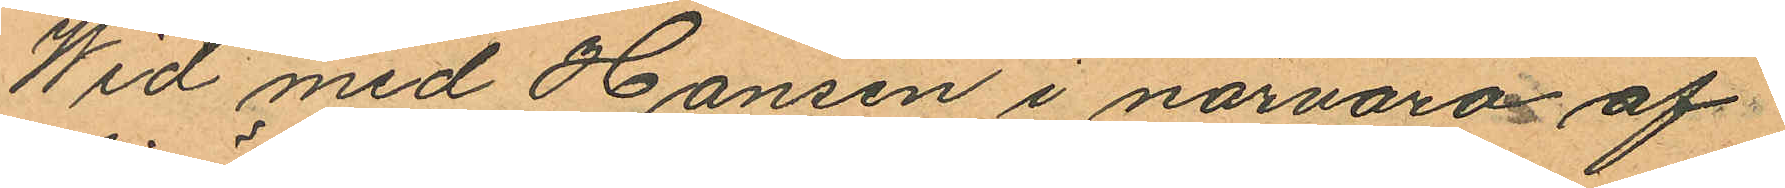Wid med Hansen i närvaro af
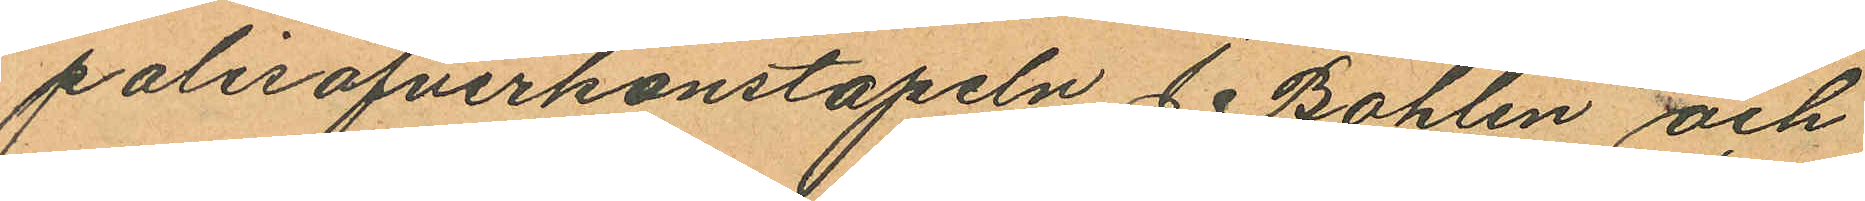polisöfverkonstapeln J. Bohlin och
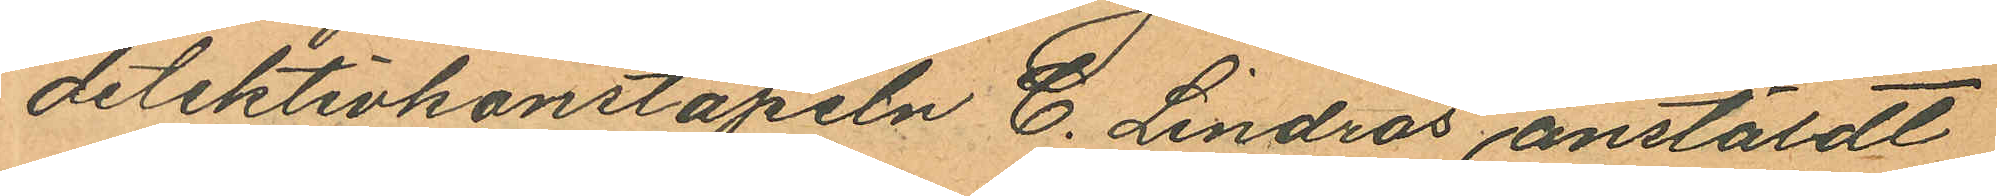detektivkonstapeln C. Lindros anstäldt
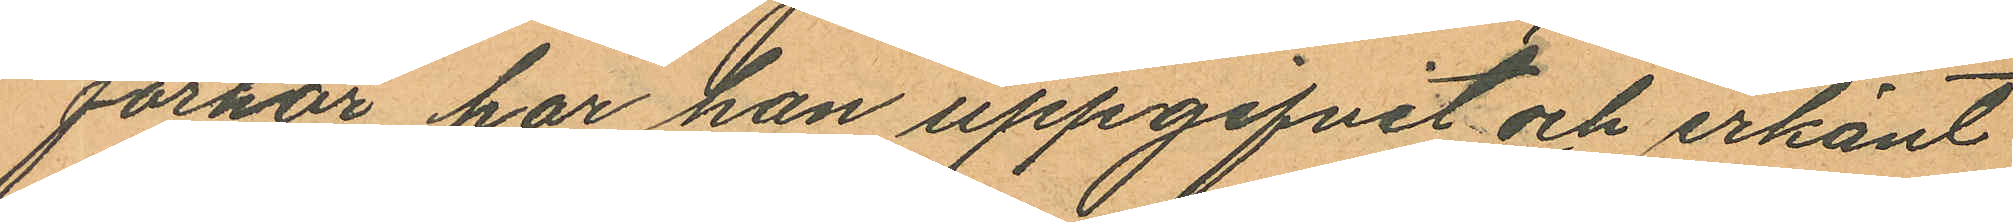förhör har han uppgifvit och erkänt
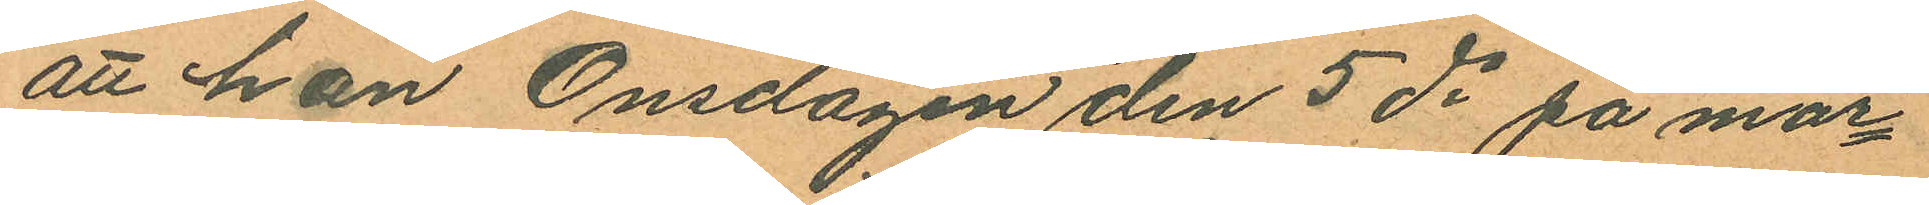att han Onsdagen den 5 ds på mor¬
